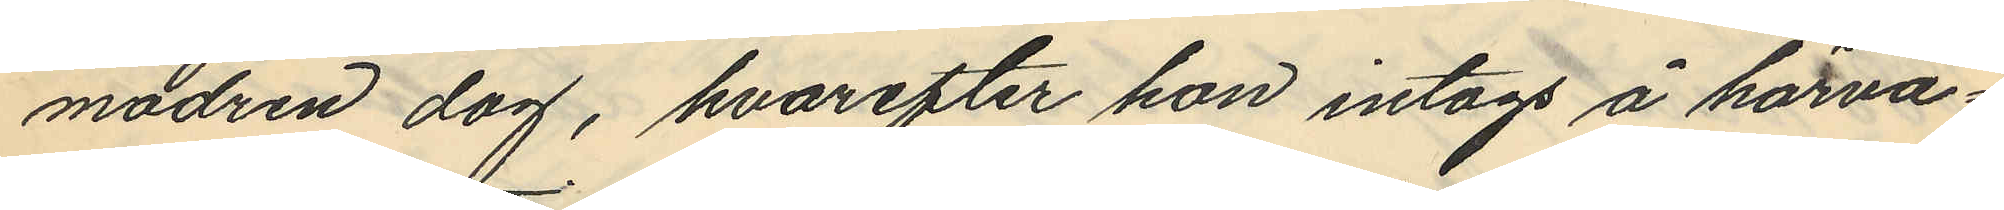modren dag, hvarefter hon intogs å härva¬
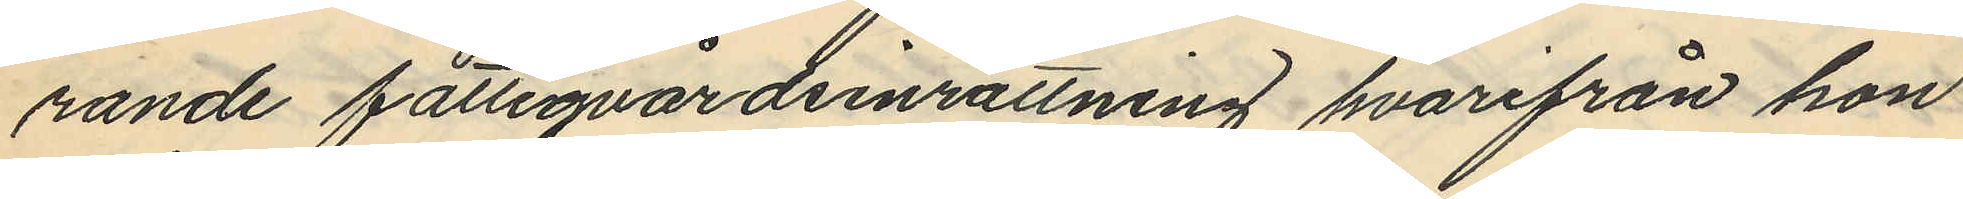rande fattigvårdsinrättning, hvarifrån hon
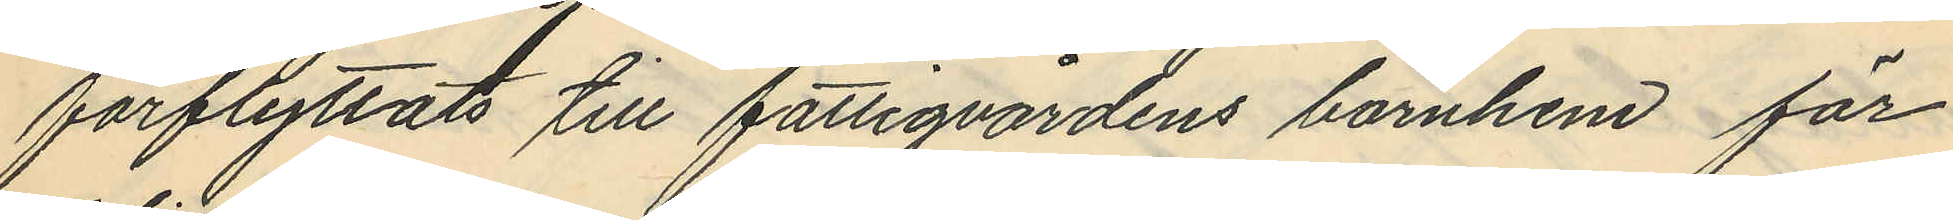förflyttats till fattigvårdens barnhem för
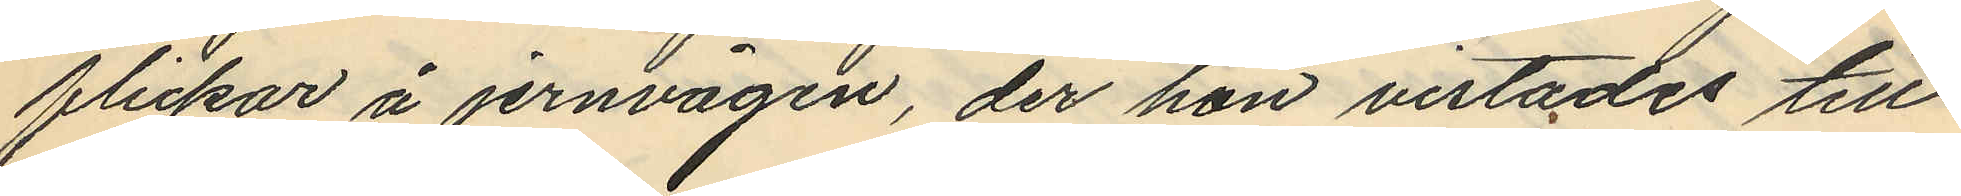flickor å jernvågen, der hon vistades till
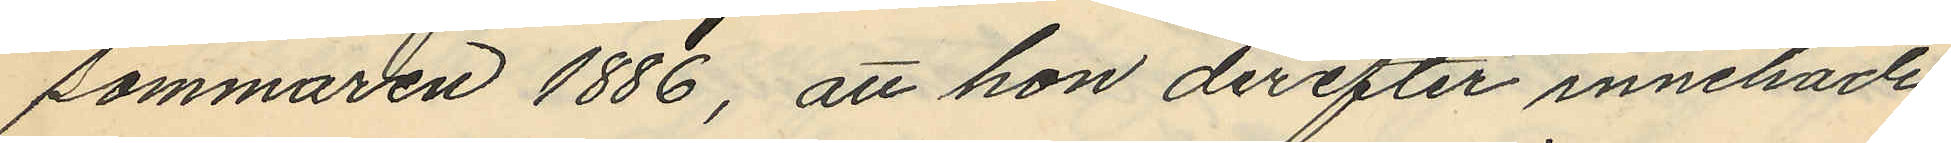sommaren 1886, att hon derefter innehade
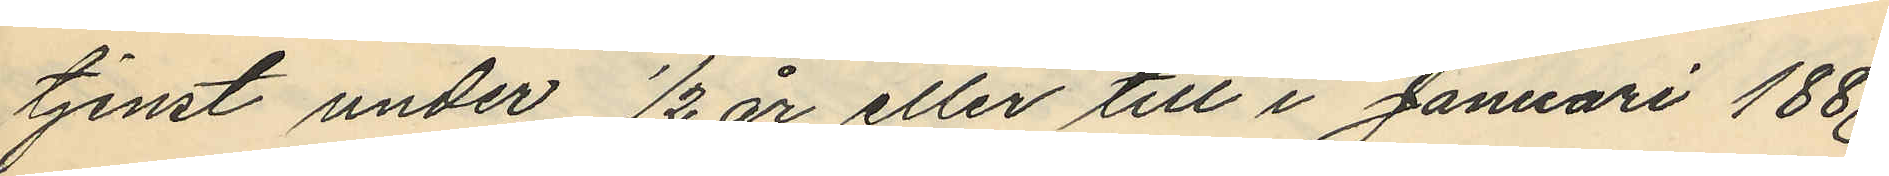tjenst under ½ år eller till i Januari 1887
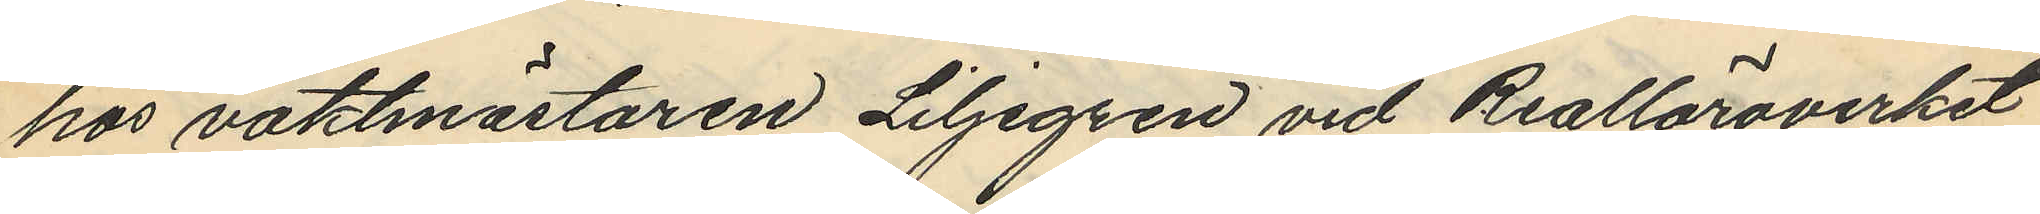hos vaktmästaren Liljegren vid Realläroverket
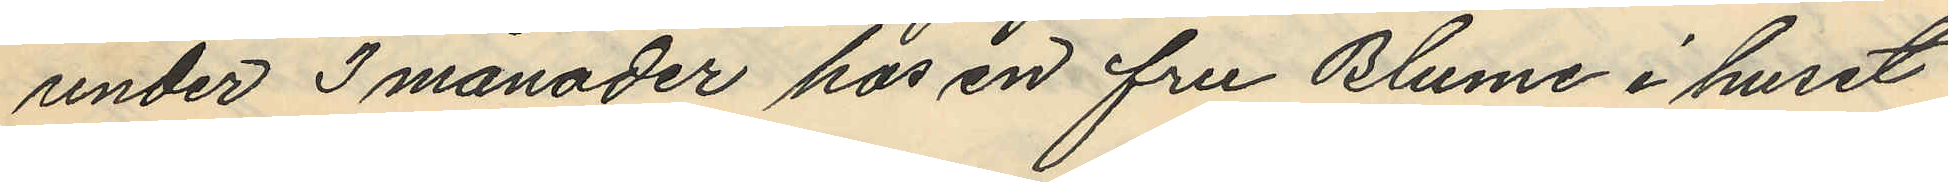under 3 månader hos en fru Blume i huset
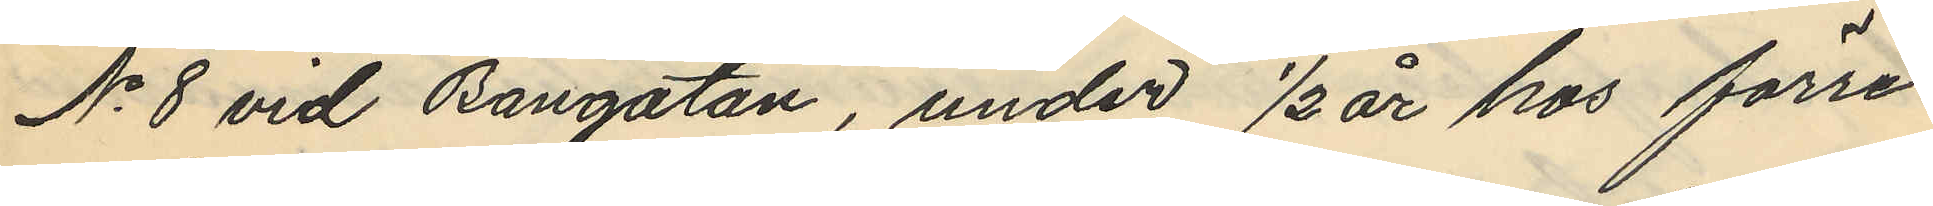No 8 vid Bangatan, under ½ år hos förre
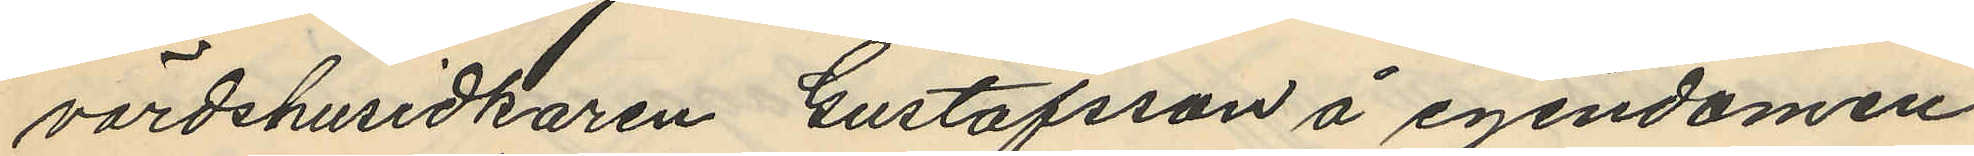värdshusidkaren Gustafsson å egendomen
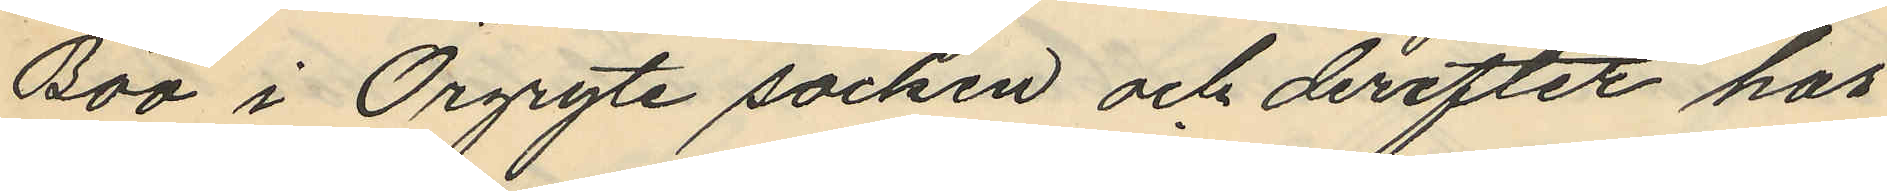Böö i Örgryte socken och derefter hos
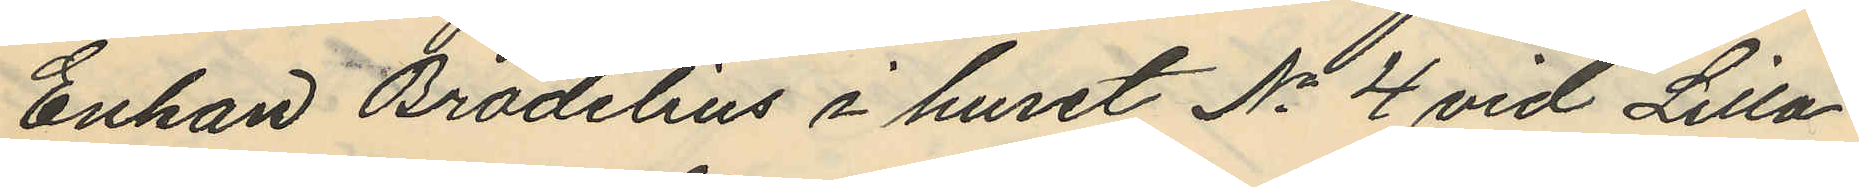Enkan Brodelius i huset No 4 vid Lilla
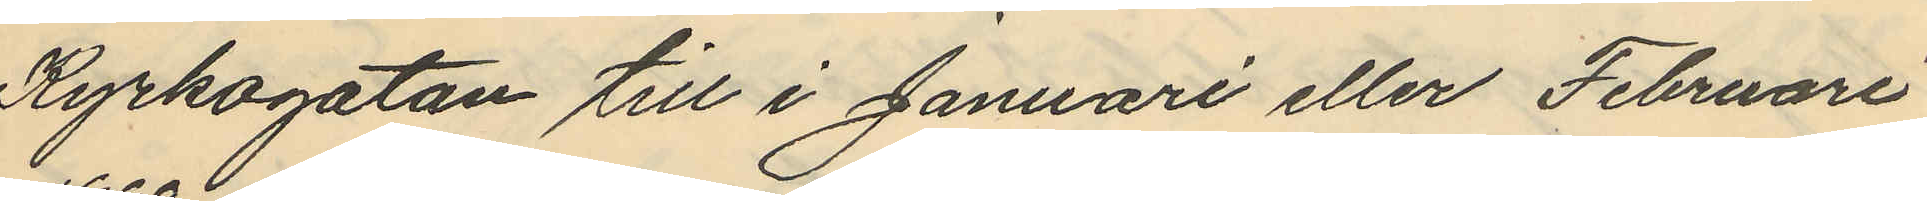Kyrkogatan till i Januari eller Februari
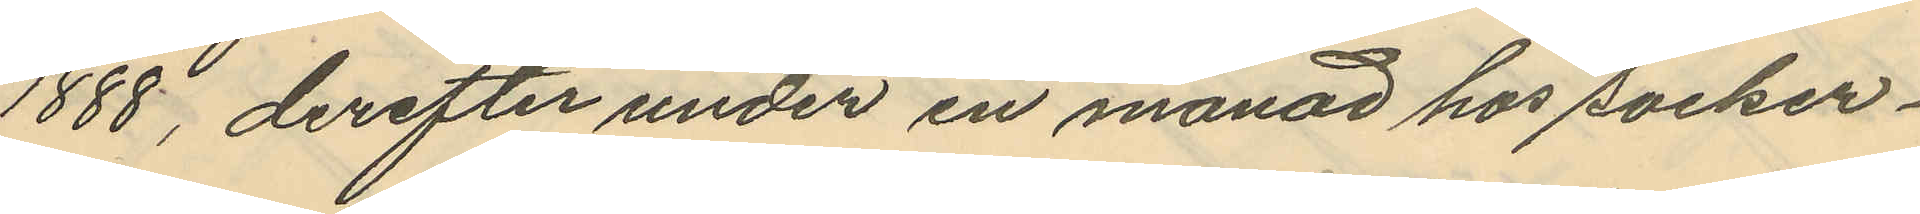1888, derefter under en månad hos socker¬
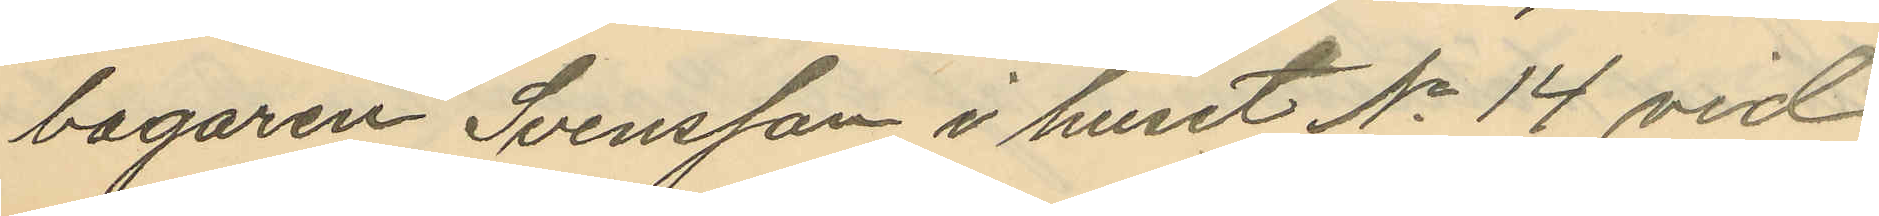bagaren Svensson i huset No 14 vid
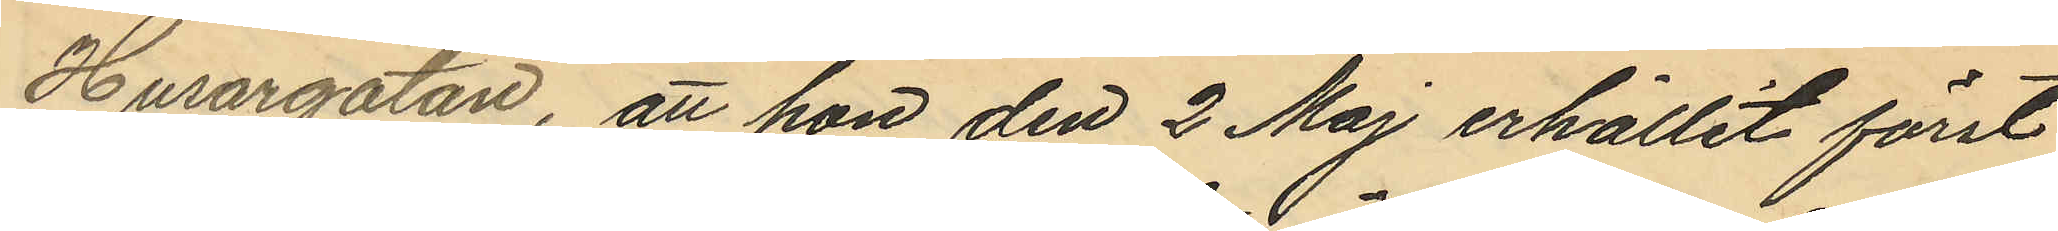Husargatan, att hon den 2 Maj erhållit först
